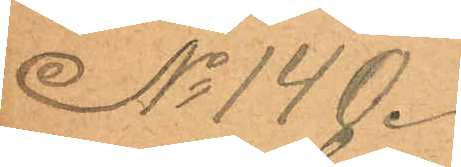No 140.
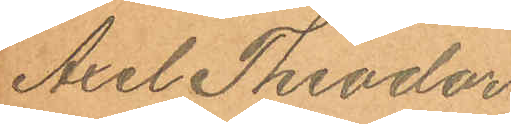Axel Theodor
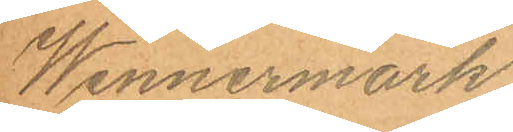Wennermark.
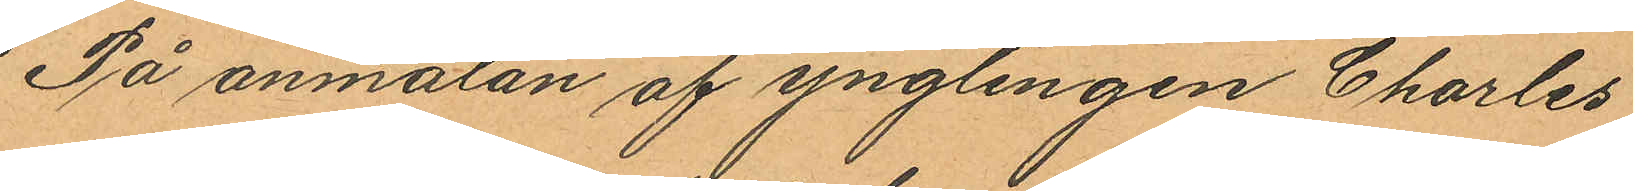På anmälan af ynglingen Charles
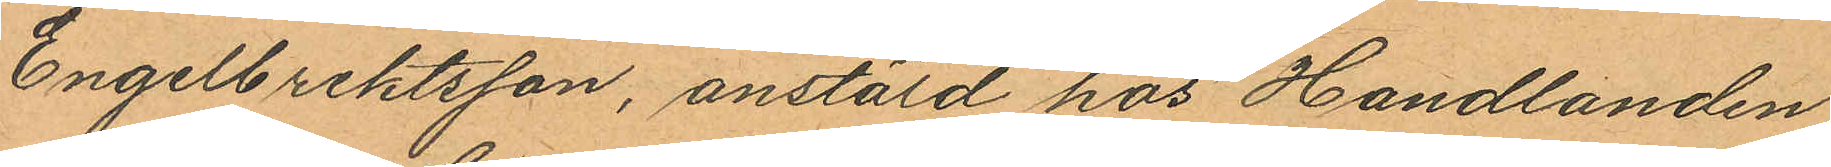Engelbrektsson, anstäld hos Handlanden
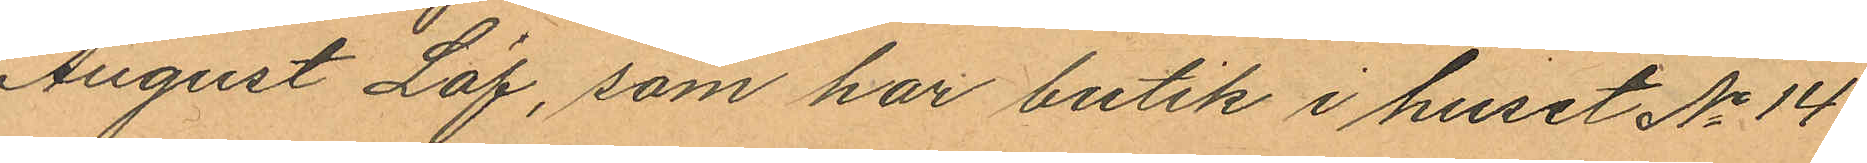August Löf, som har butik i huset No 14
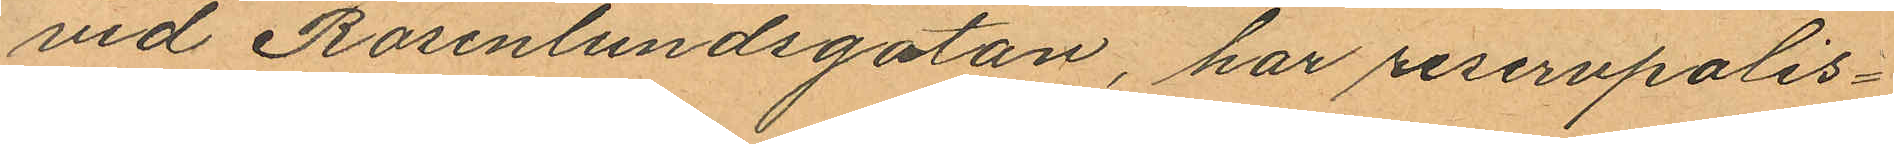vid Rosenlundsgatan, har reservpolis¬
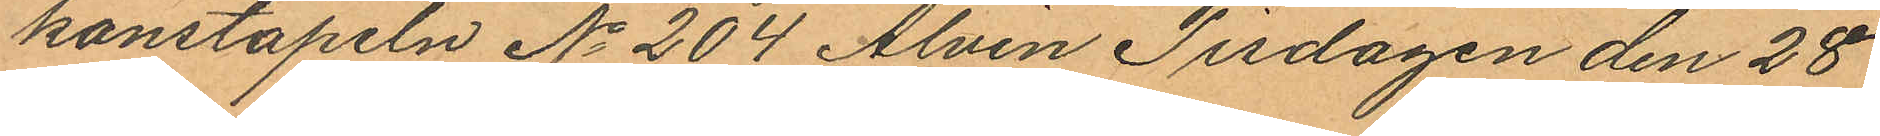konstapeln No 204 Alvin Tisdagen den 28
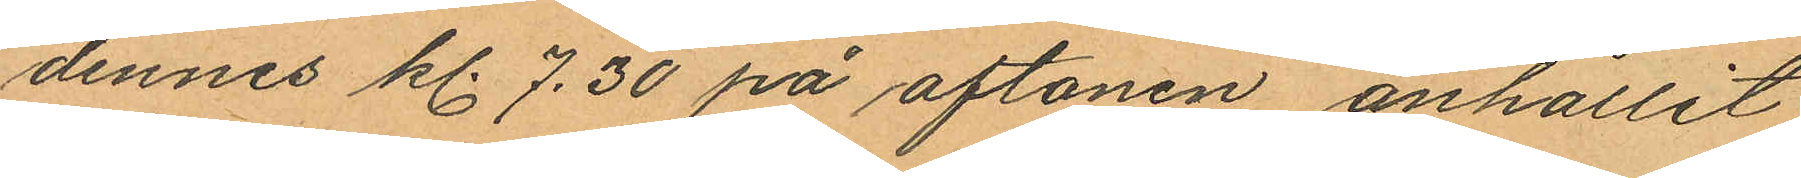dennes kl. 7.30 på aftonen anhållit
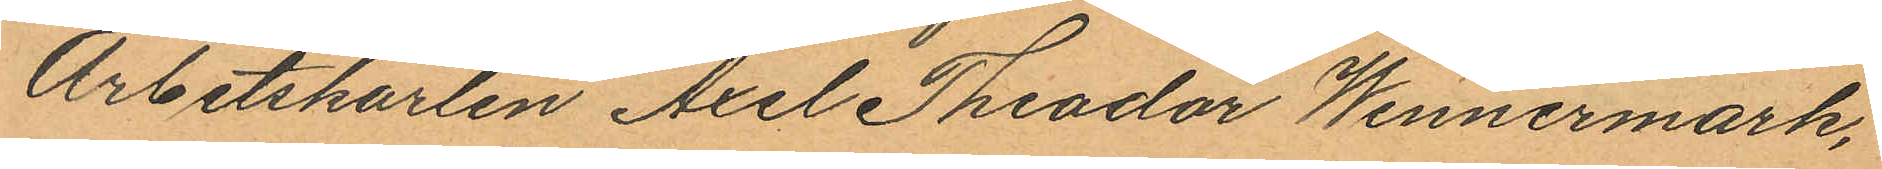Arbetskarlen Axel Theodor Wennermark,
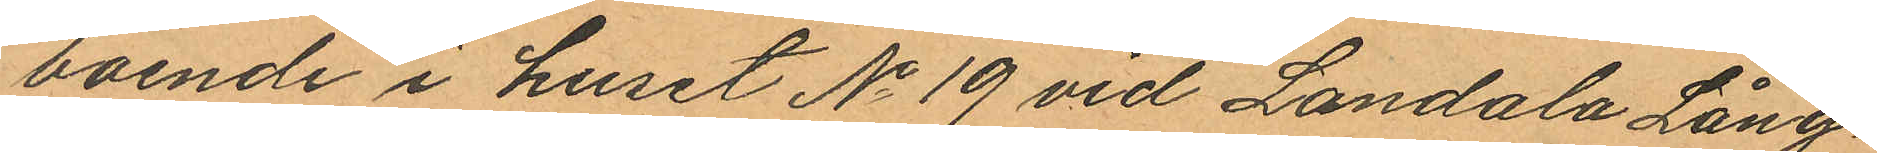boende i huset No 19 vid Landala Lång¬
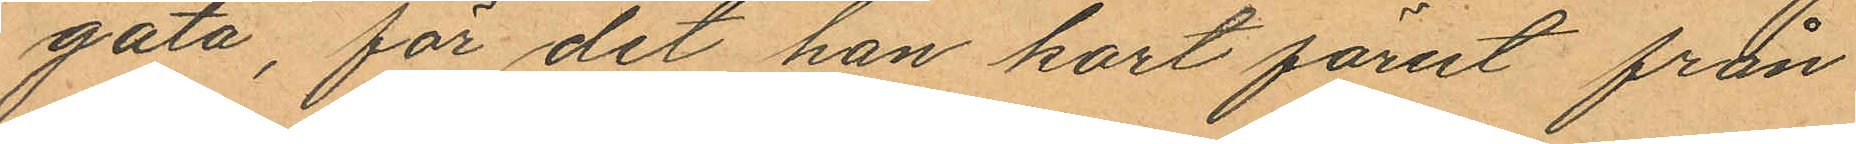gata, för det han kort förut från
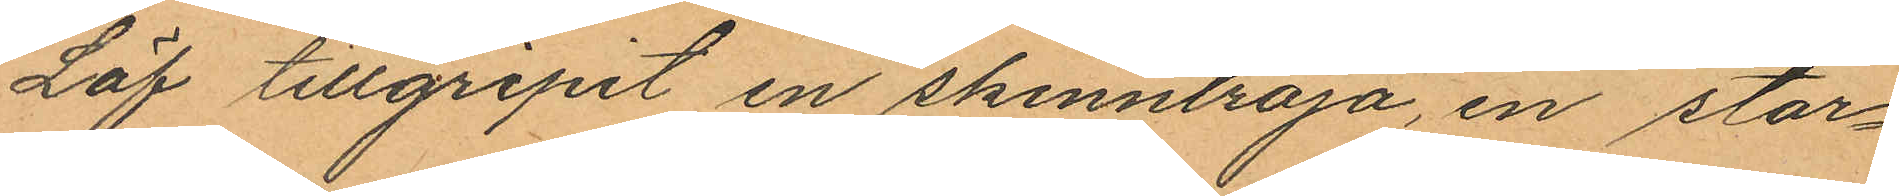Löf tillgripit en skinntröja, en stor¬
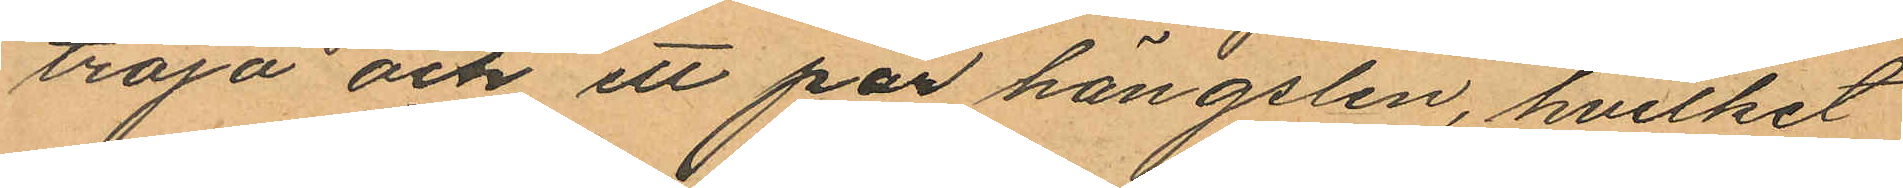tröja och ett par hängslen, hvilket
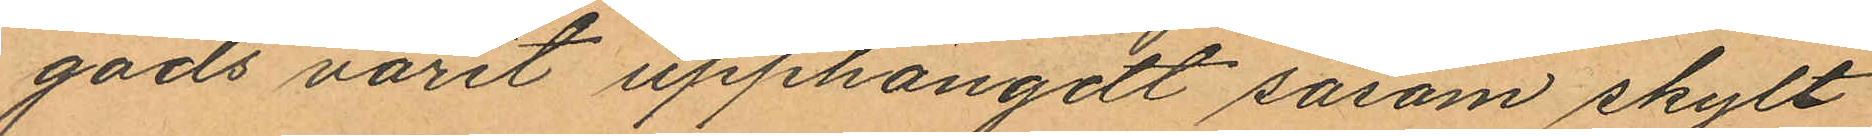gods varit upphängdt såsom skylt
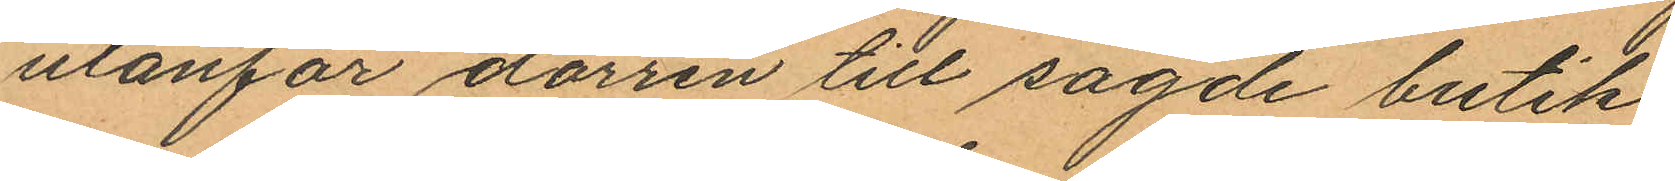utanför dörren till sagde butik.
